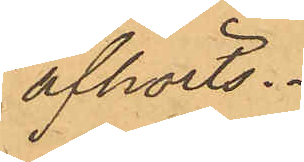afhörts.
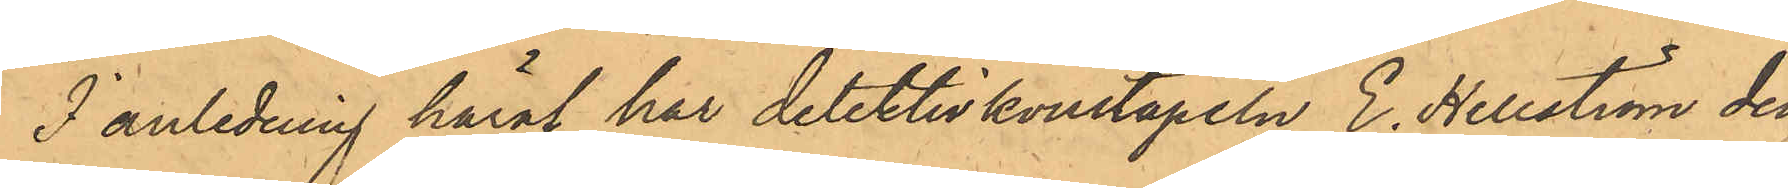I anledning häraf har detektivkonstapeln E. Hellström den
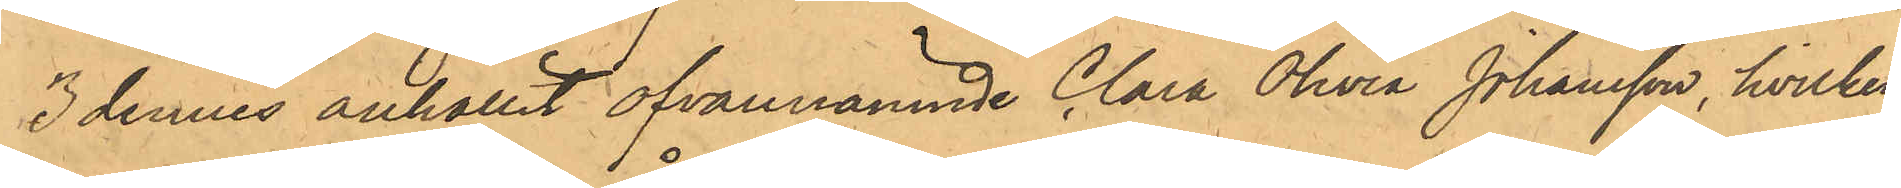3 dennes anhållit ofvannämnde Clara Olivia Johansson, hvilken
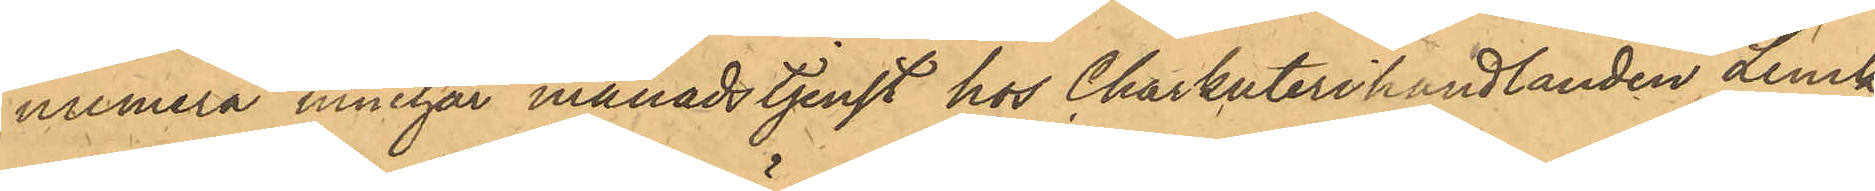numera innehar månadstjenst hos Charkuterihandlanden Lenck
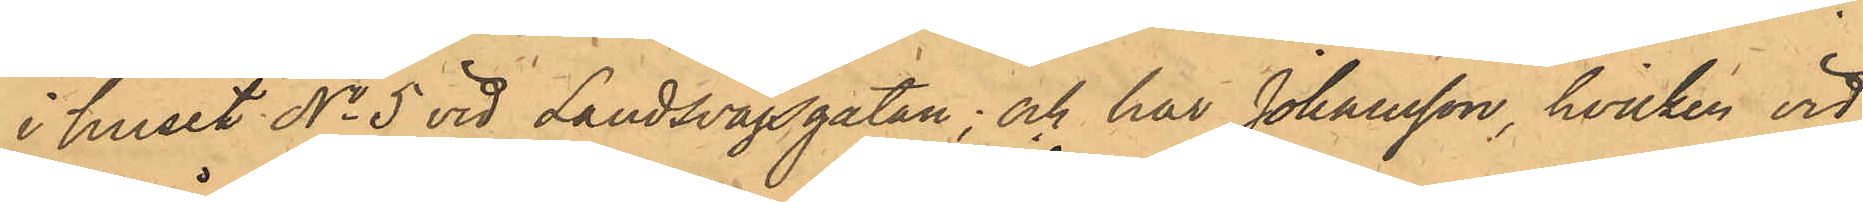i huset No 5 vid Landsvägsgatan; och har Johansson, hvilken vid 
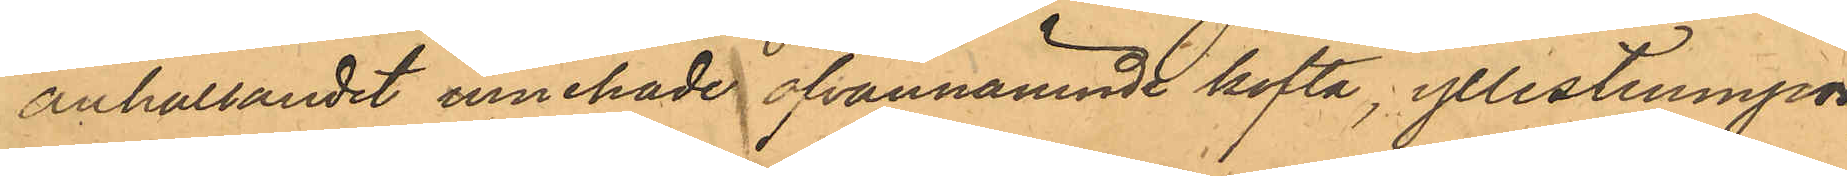anhållandet innehade ofvannämnde kofta, yllestrumpor,
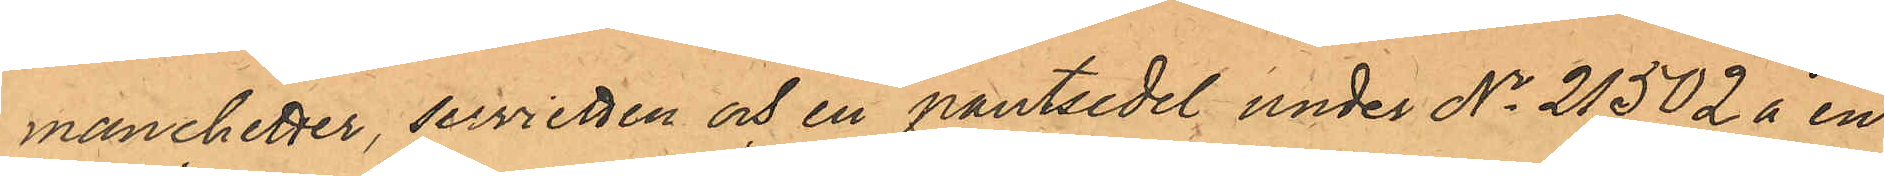manchetter, servietten och en pantsedel under No 21502 å en 
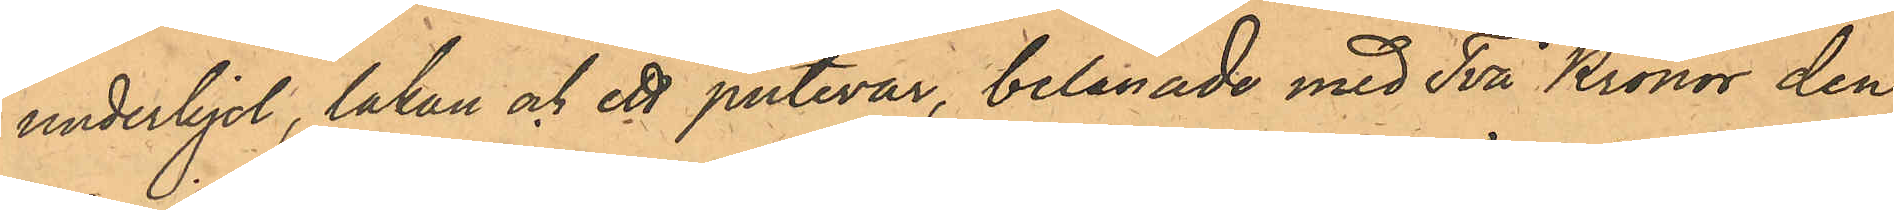underkjol, lakan och ett putevar, belånade med Två Kronor den
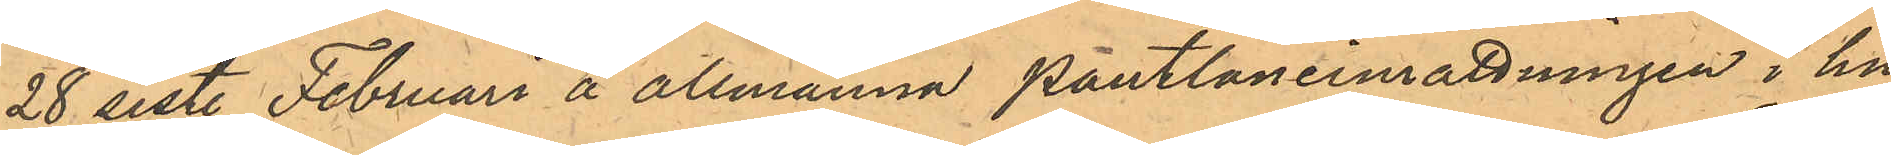28 sist. Februari å allmänna Pantlåneinrättningen i hu¬ 
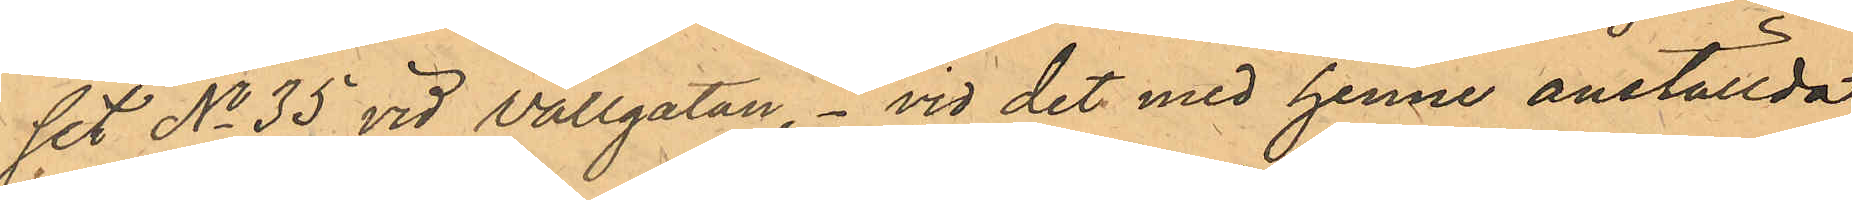set No 35 vid Vallgatan. vid det med henne anställda
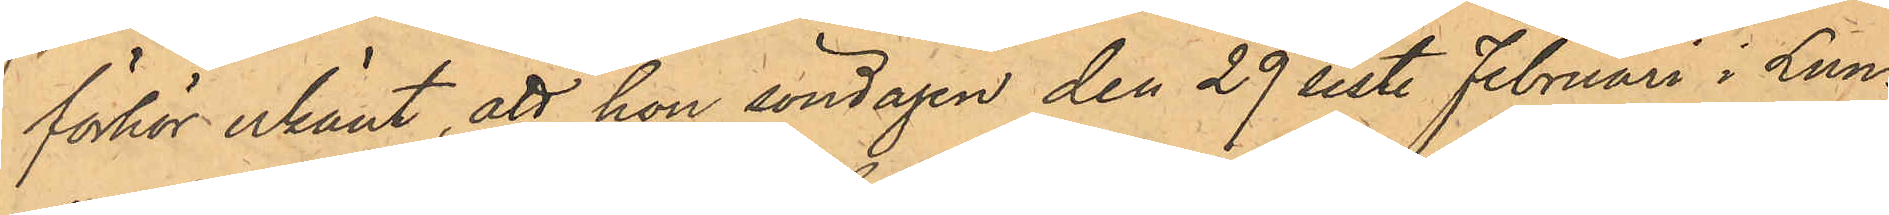förhör erkänt, att hon söndagen den 29 sist. Februari i Lun¬
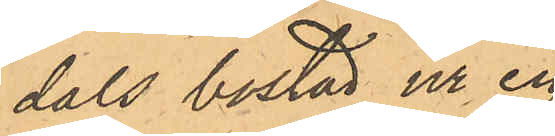dals bostad ur en
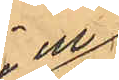i en 
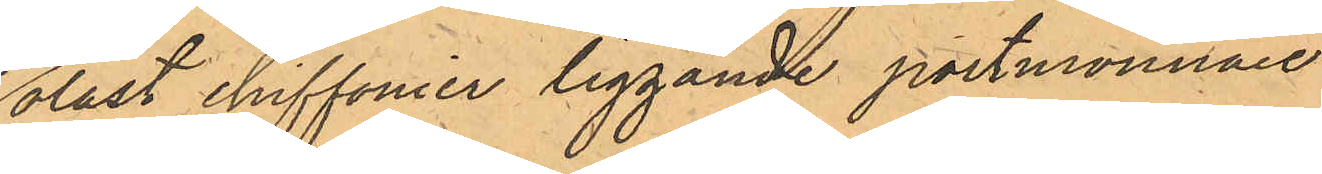olåst chiffonier liggande portmonnaie
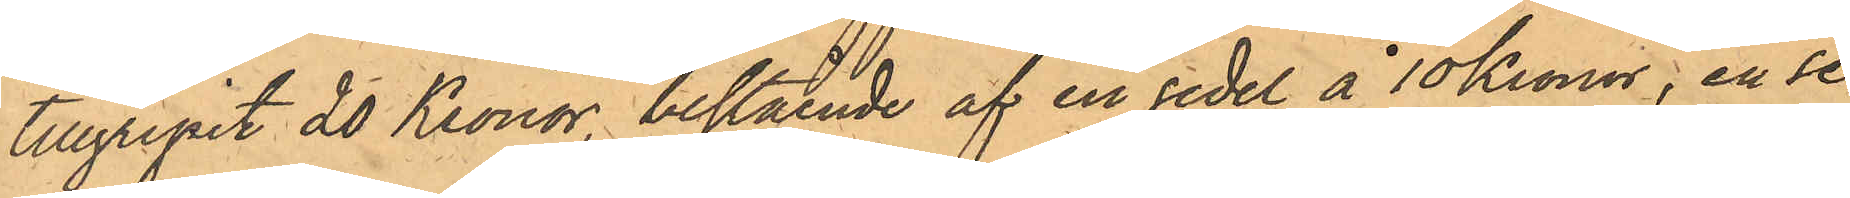tillgripit 20 Kronor, bestående af en sedel å 10 Kronor, en se¬
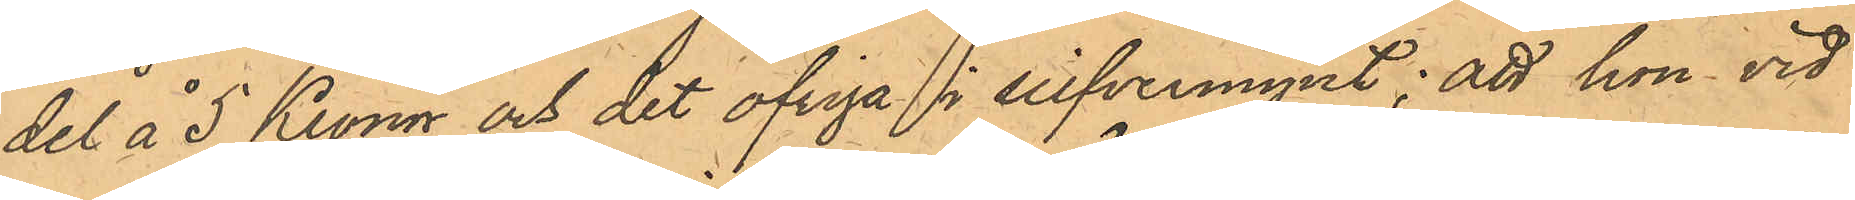del å 5 Kronor och det öfriga i silfvermynt; att hon vid
